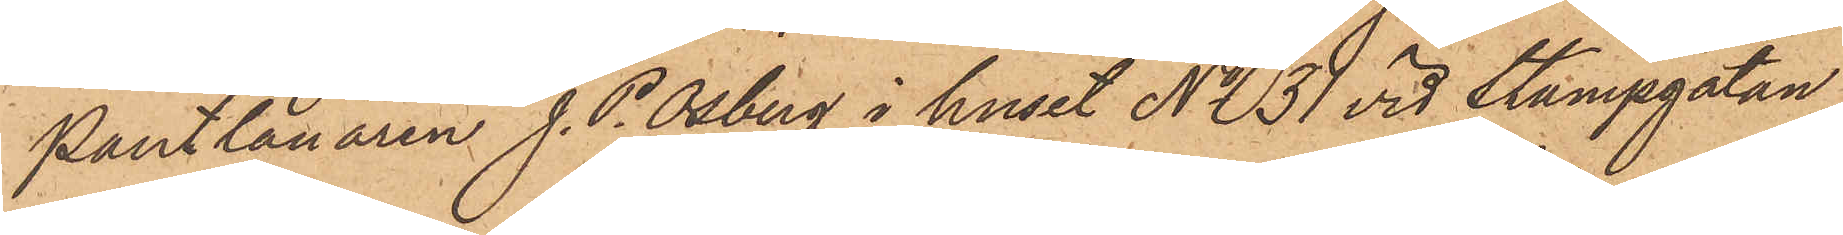Pantlånaren J. P. Osberg i huset No 31 vid Stampgatan
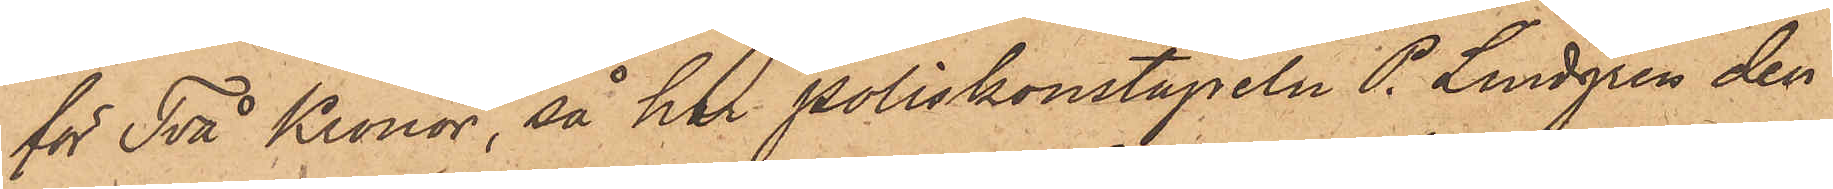för Två Kronor, så har Poliskonstapeln P. Lindgren den
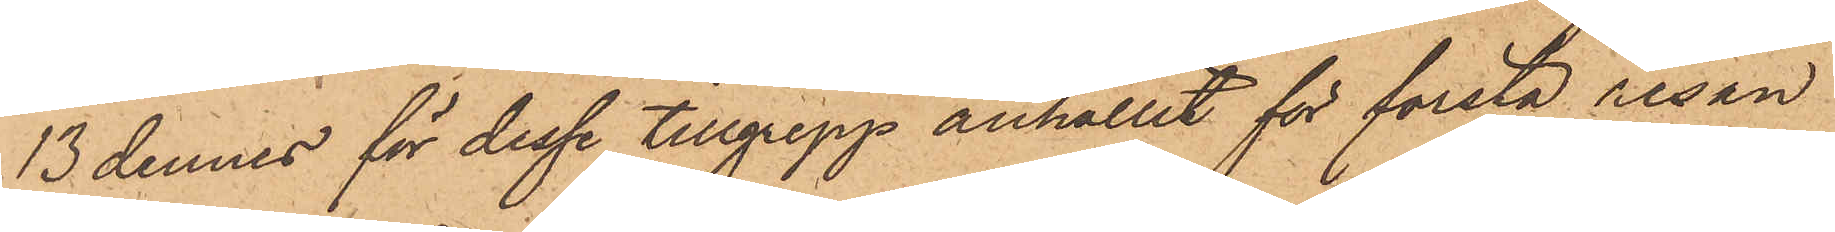13 dennes för dessa tillgrepp anhållit för första resan
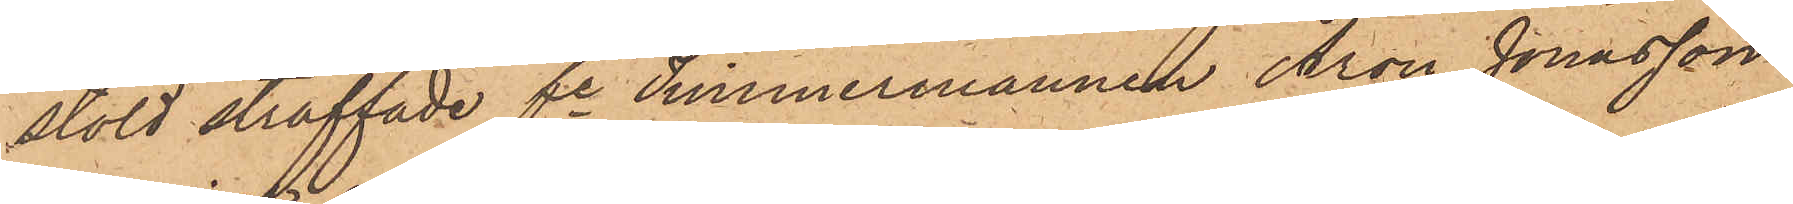stöld straffade fe Timmermannen Aron Jonasson
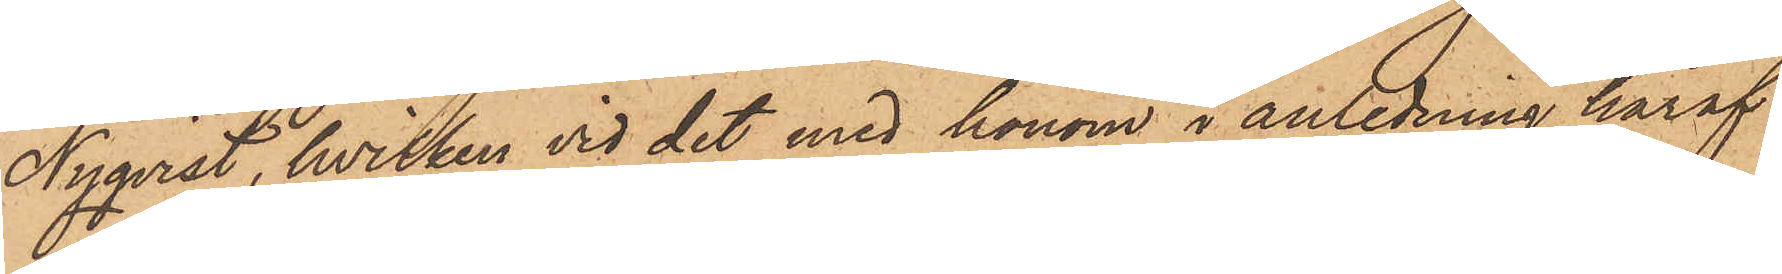Nyqvist, hvilken vid det med honom i anledning häraf
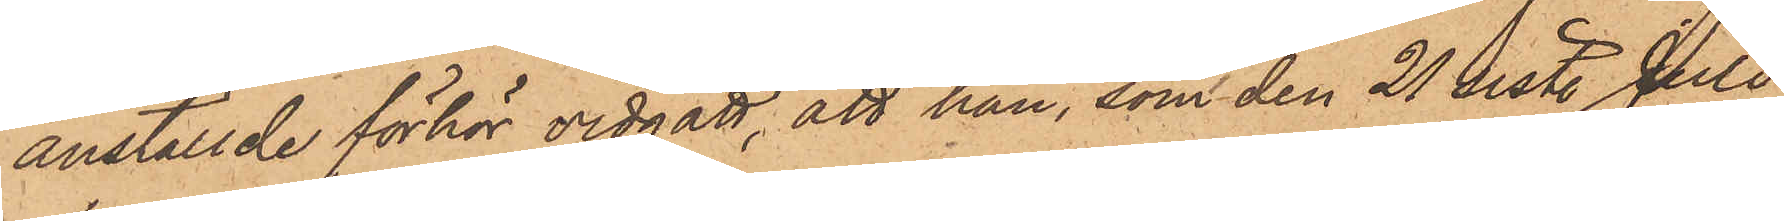anställde förhör vidgått, att han, som den 21 sist. Juli
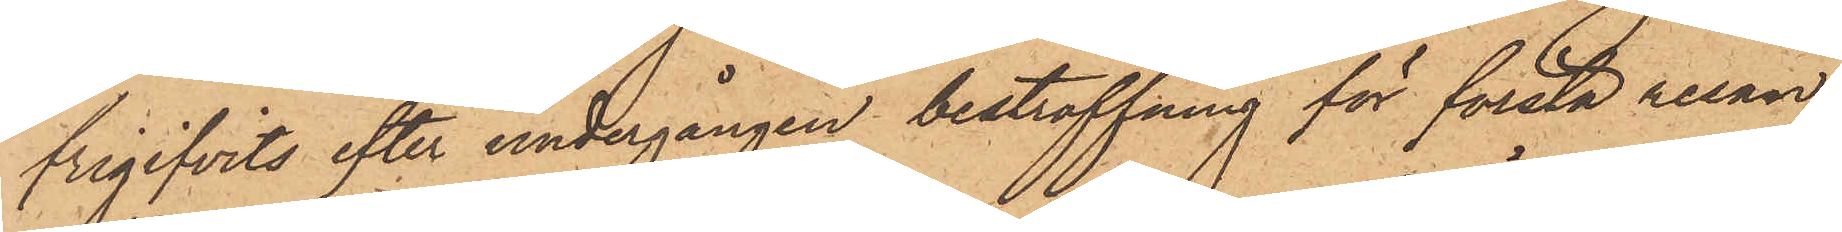frigifvits efter undergången bestraffning för första resan
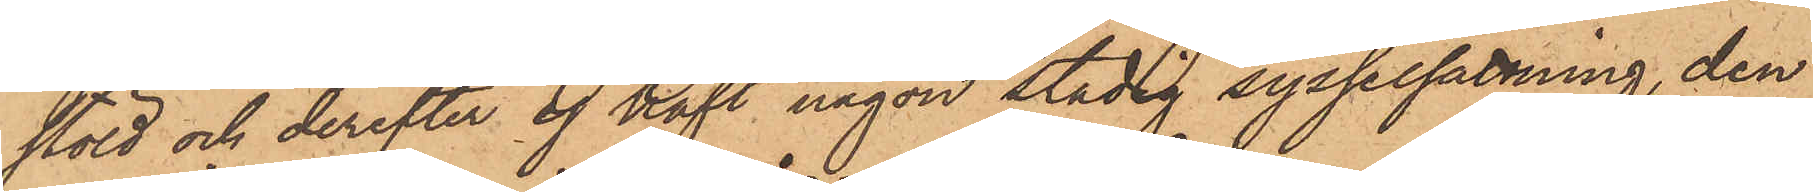stöld och derefter ej haft någon stadig sysselsättning, den
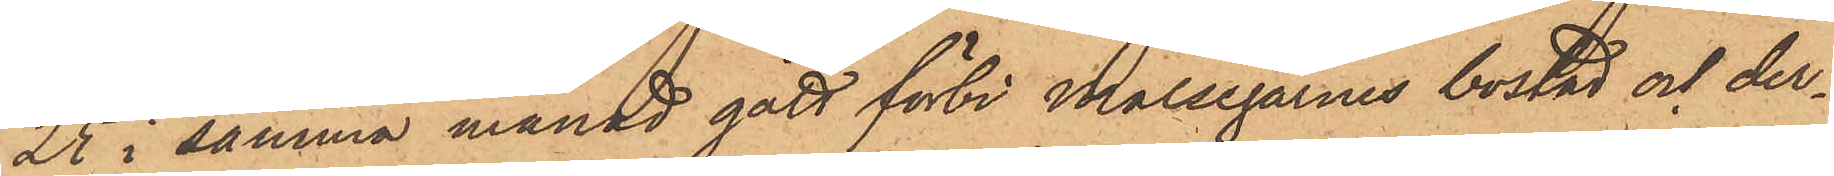25 i samma månad gått förbi Målsegarnes bostad och der¬
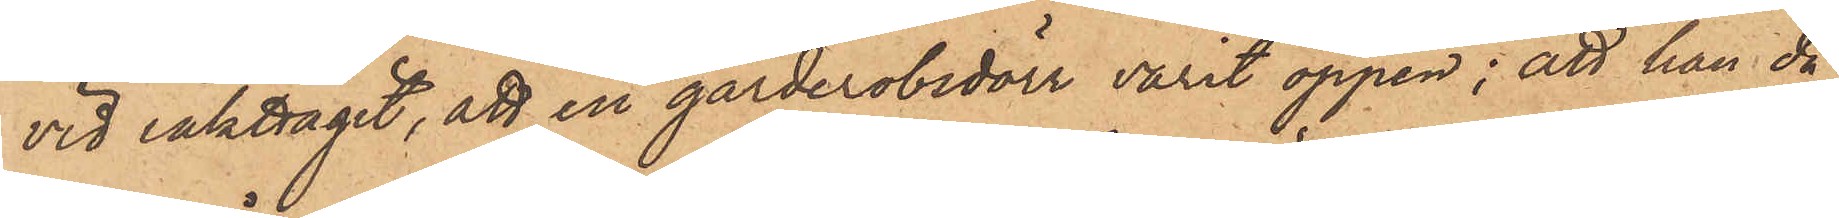vid iakttagit, att en garderobsdörr varit öppen; att han då
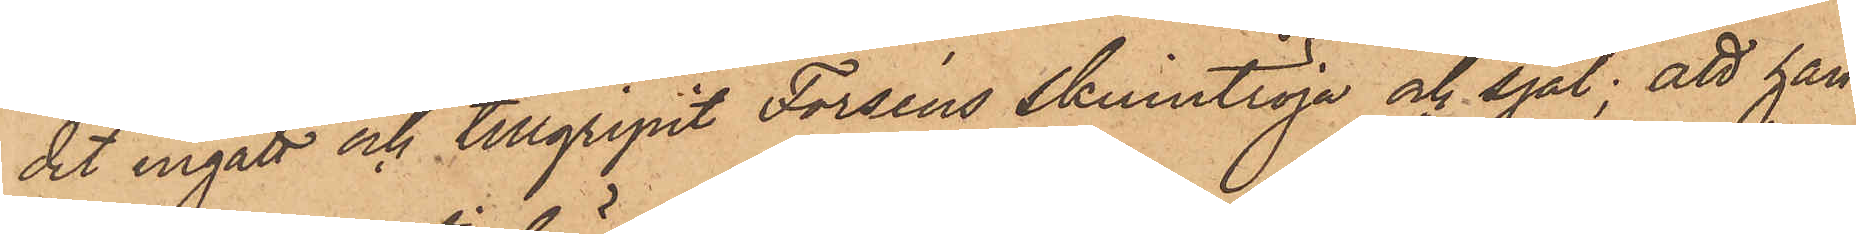dit ingått och tillgripit Forséns skinntröja och sjal; att han
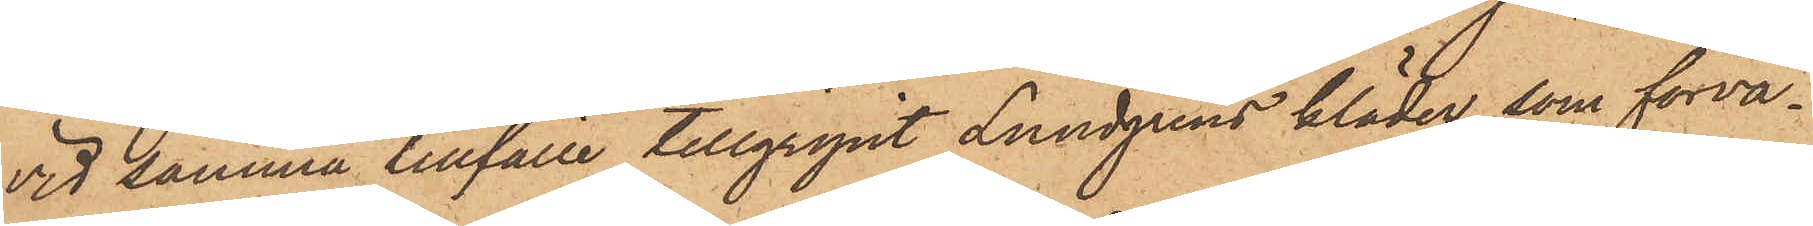vid samma tillfälle tillgripit Lundgrens kläder, som förva¬
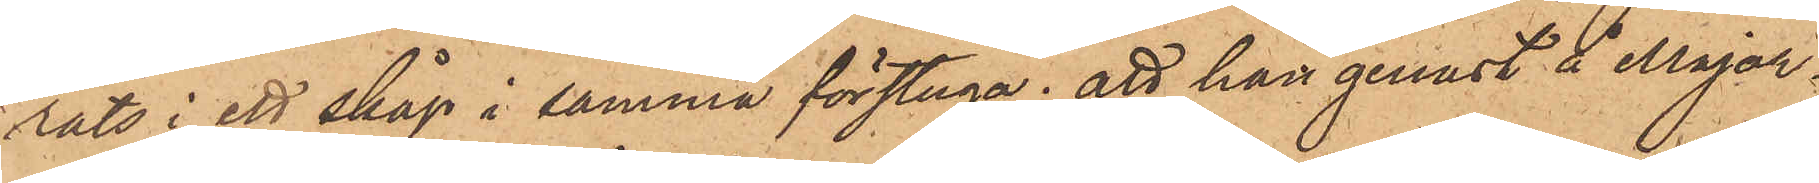rats i ett skåp i samma förstuga; att han genast å Major¬
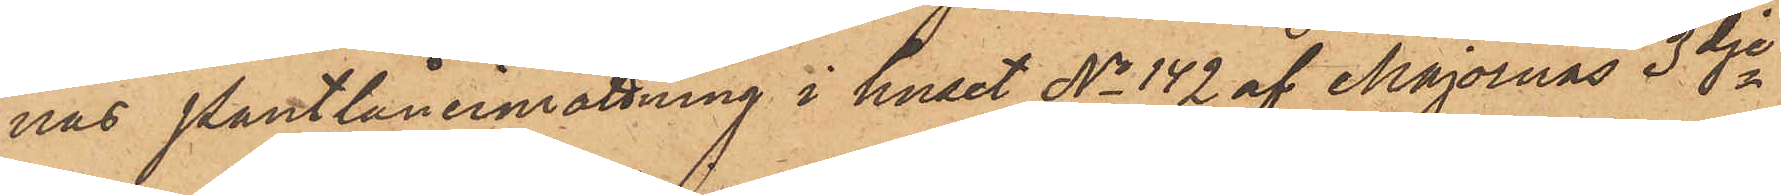nas Pantlåneinrättning i huset No 142 af Majornas 3dje
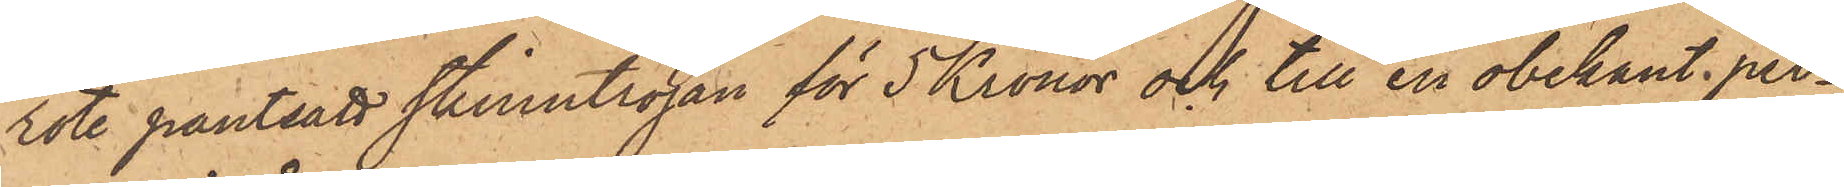rote pantsatt skinntröjan för 5 Kronor och till en obekant per¬
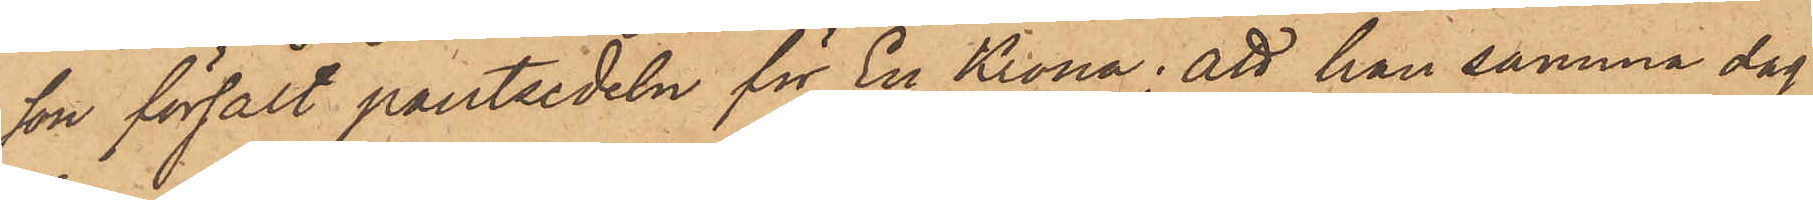son försålt pantsedeln för En Krona; att han samma dag
